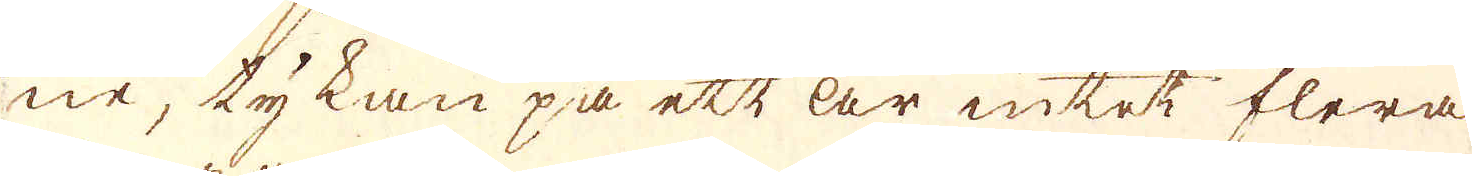ne, tykan på ett är intet flera
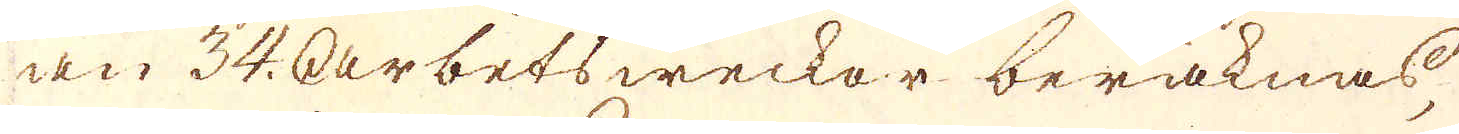än 34. Arbetsweckor beräknas,
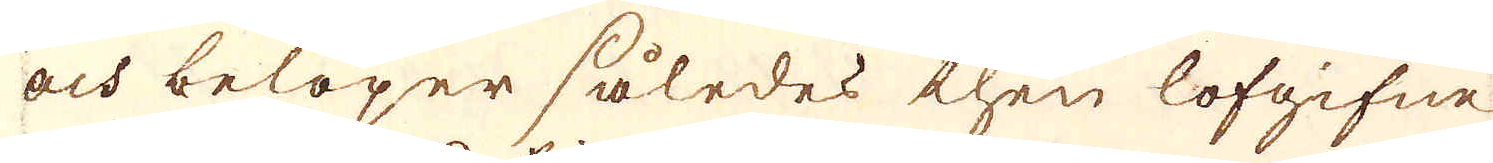och belöper således then lofgifne
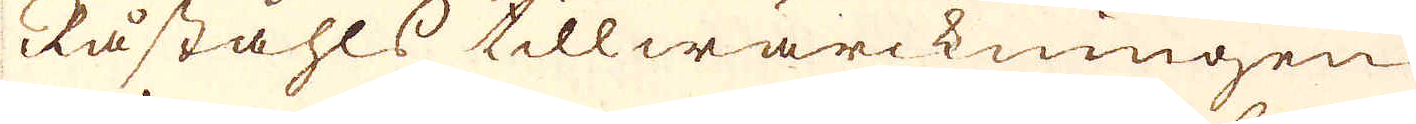Råståhls tillwärckningen
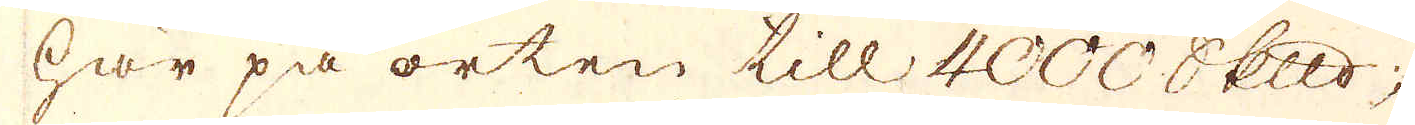här på orten till 4000 skeppund,
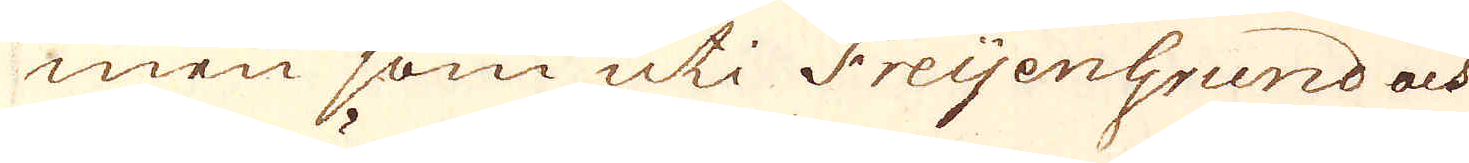men som uti Freijengrund och
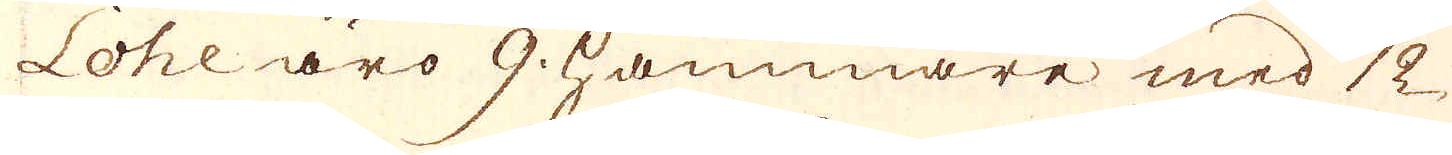Lohe äro 9. hammare med 12
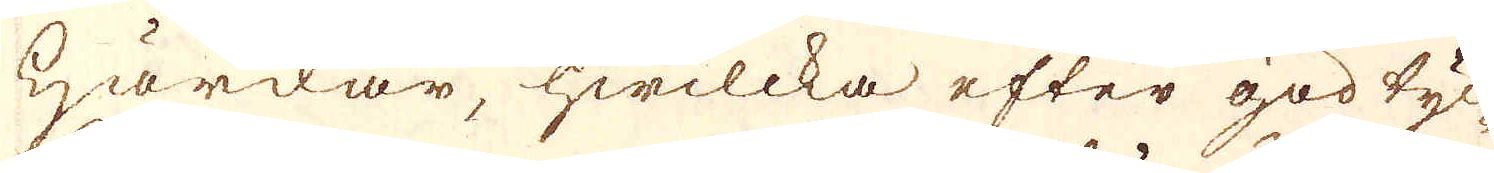Härdar, hwilcka efter god tyc-
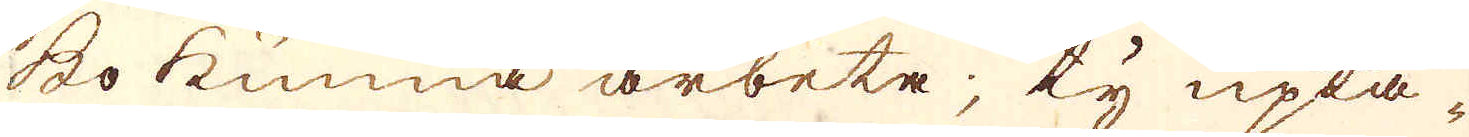ko kunna arbeta; ty upta-
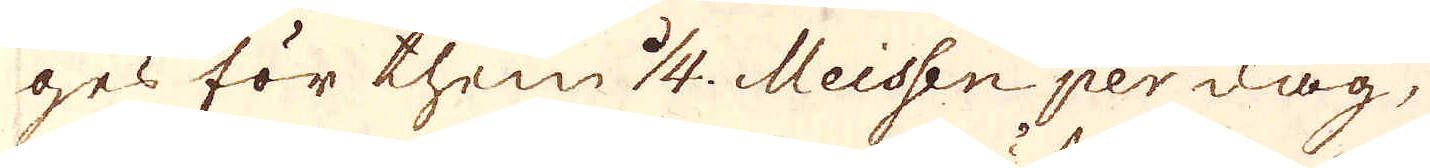ges för them 1/4. Meissen per dag,
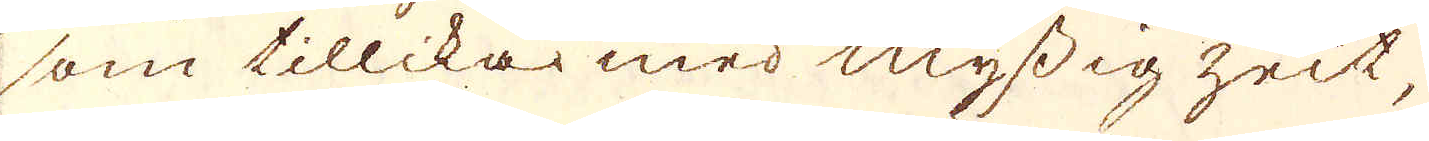som tillika med myssig zeit,
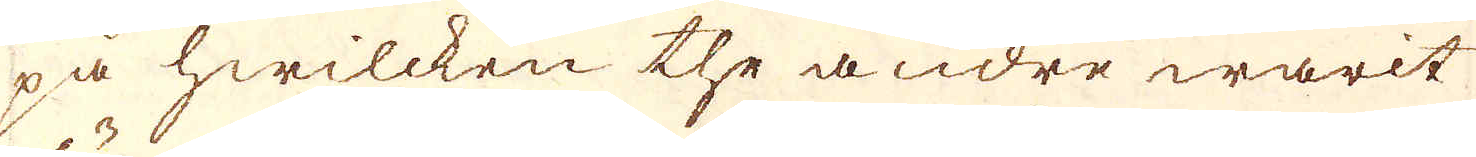på hwilcken the andre warit
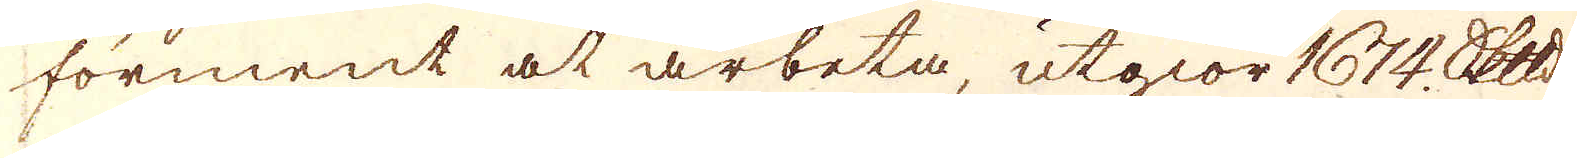förment at arbeta, utgiör 1674 Skeppund.
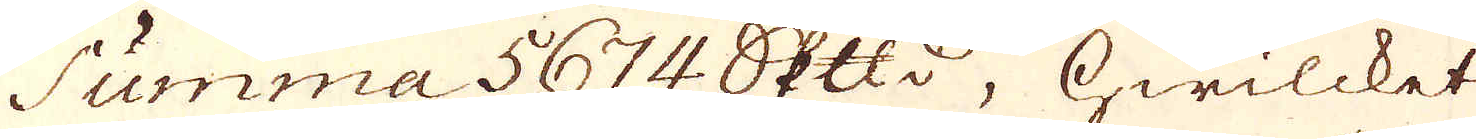Summa 5674. Skeppund, hwilcket
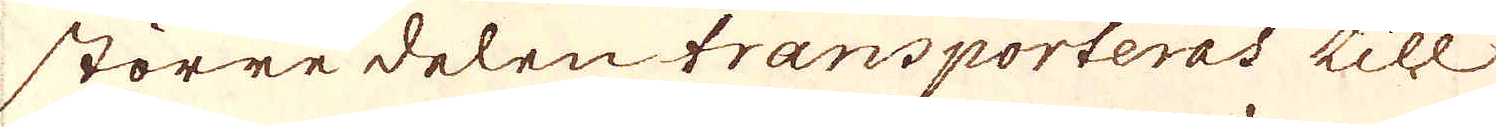större delen transporteras till
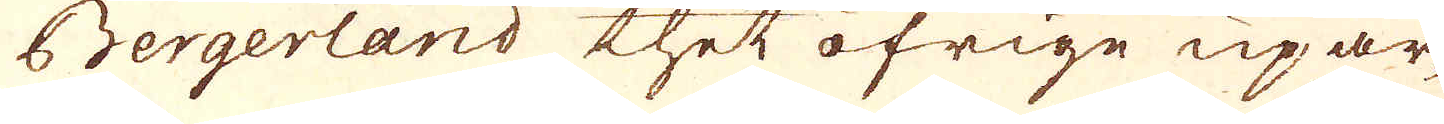Bergerland thet öfrige upar-
